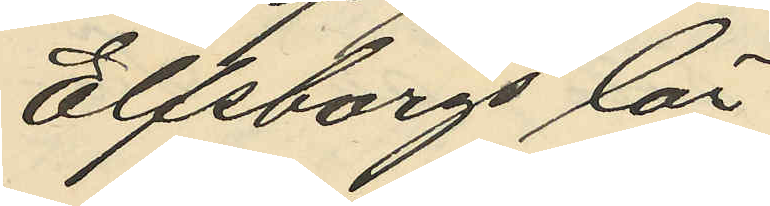Elfsborgs län
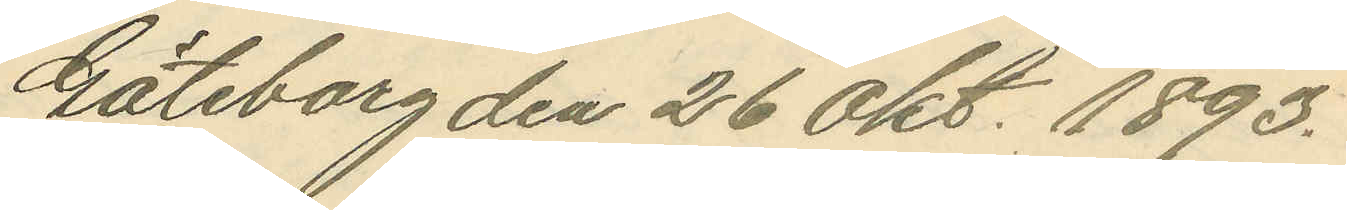Göteborg den 26 Okt. 1893.
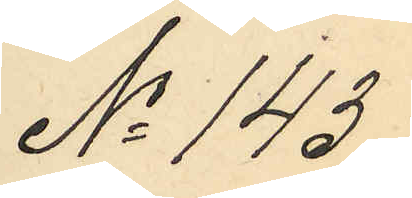No 143.
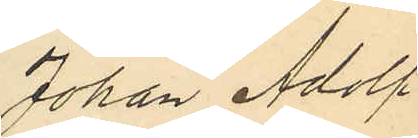Johan Adolf
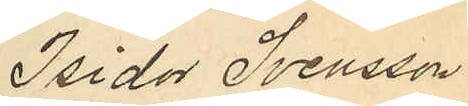Isidor Svensson
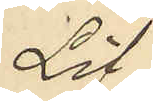Löf,
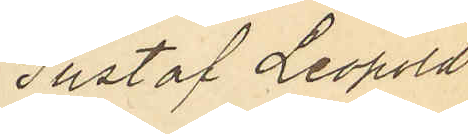Gustaf Leopold
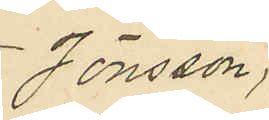Jönsson,
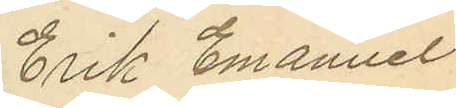Erik Emanuel
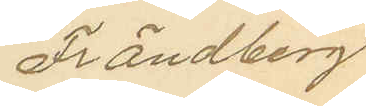Frändberg
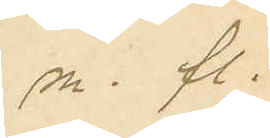m. fl.
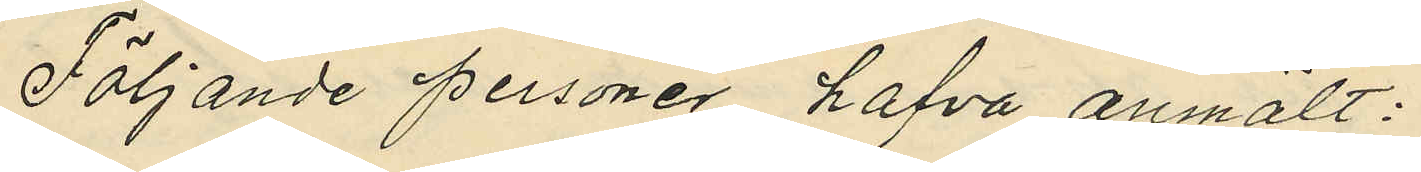Följande personer hafva anmält:
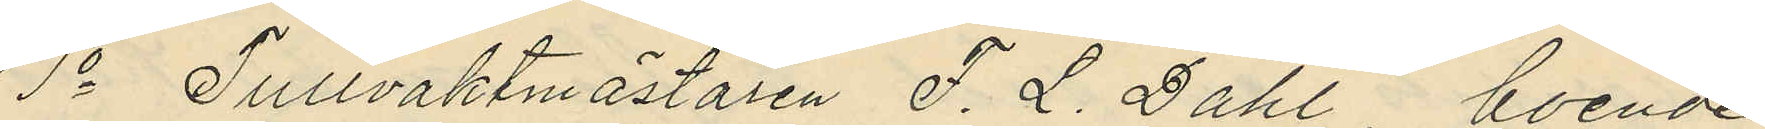1o Tullvaktmästaren F. L. Dahl, boende
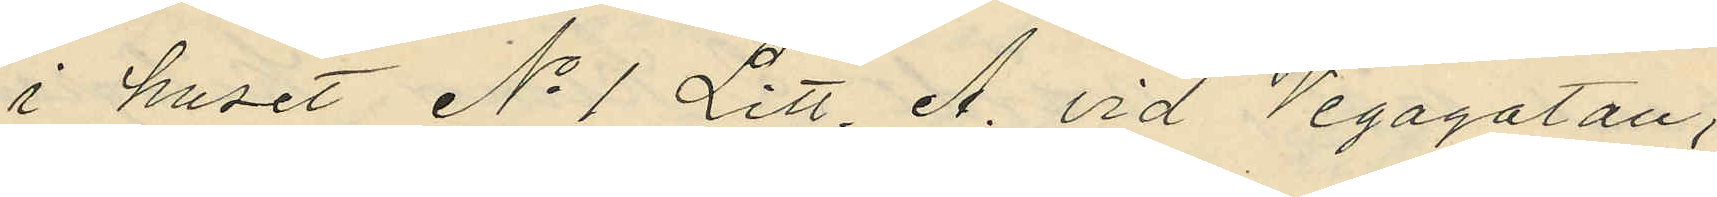i huset No 1 Litt. A. vid Vegagatan,
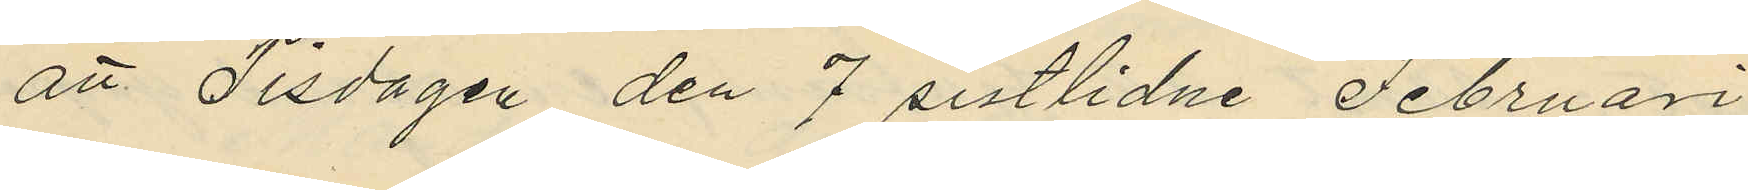att Tisdagen den 7 sistlidne Februari
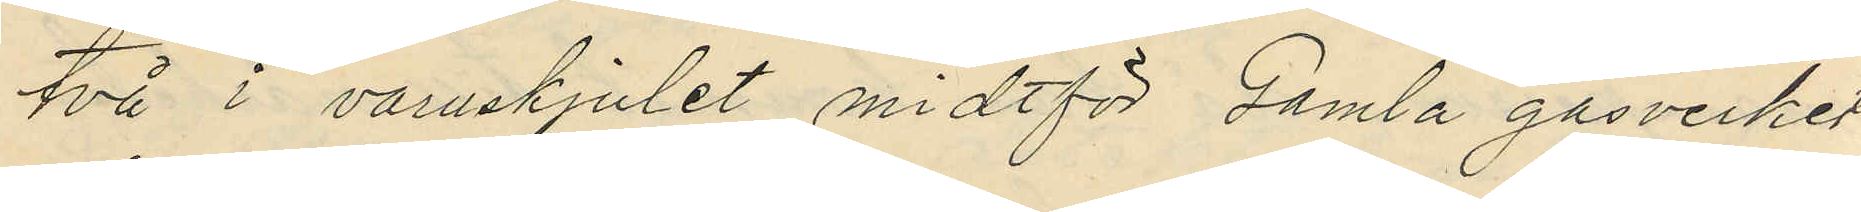två i varuskjulet midtför Gamla gasverket
